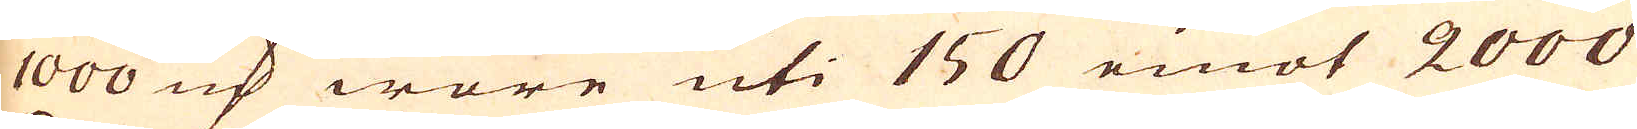1000 marker wore uti 150 emot 2000
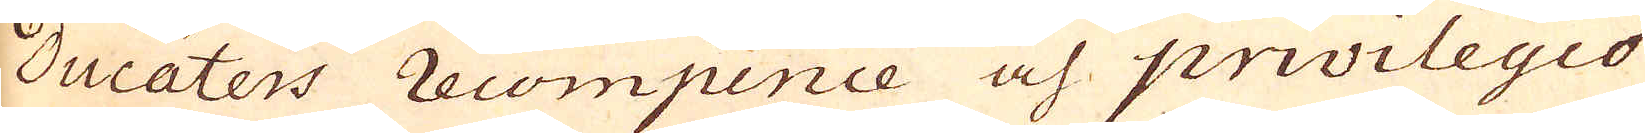ducaters recompence och privilegio
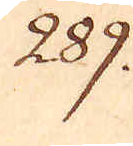289.
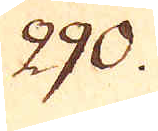290.
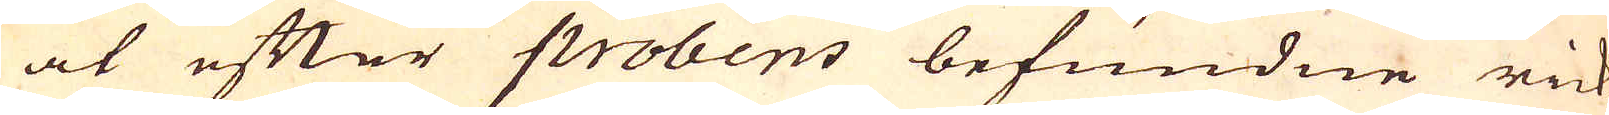at efter probens befundne rick-
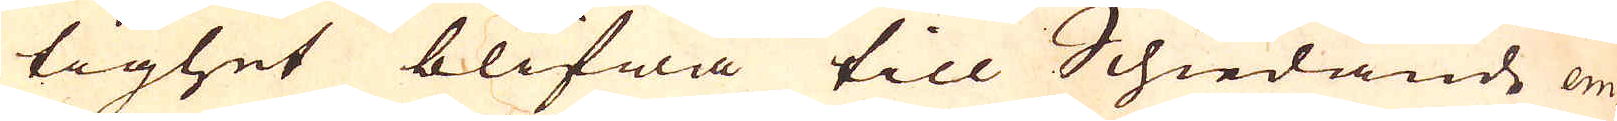tighet blifwa till Schiedande em-
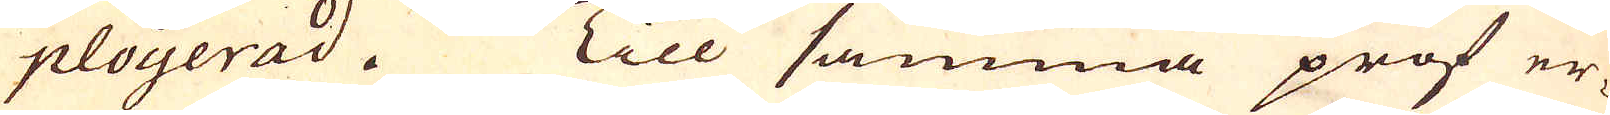ployerad. Till samma prof er-
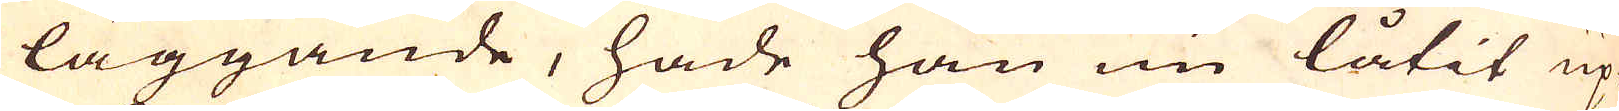läggande, hade han nu låtit up-
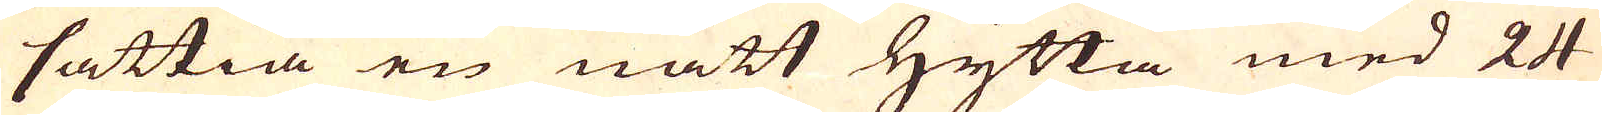sättia en nätt Hytta med 24
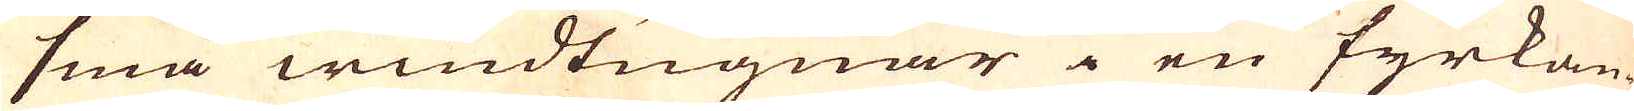små windtugnar i en fyrkan-
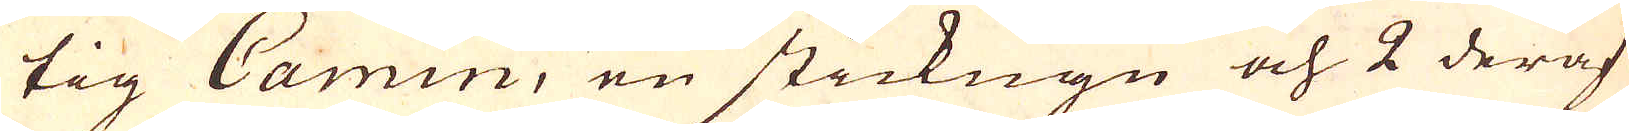tig Camin, en stickugn och 2 deraf
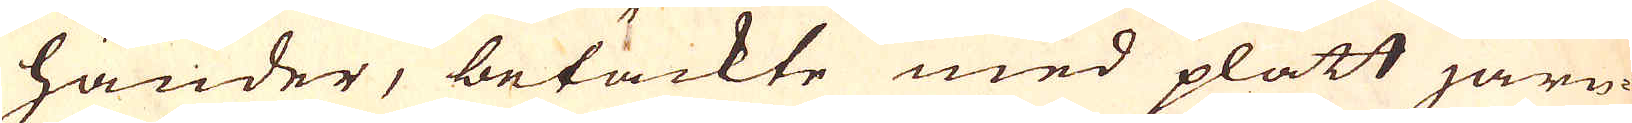händer, betäckte med platt järn-
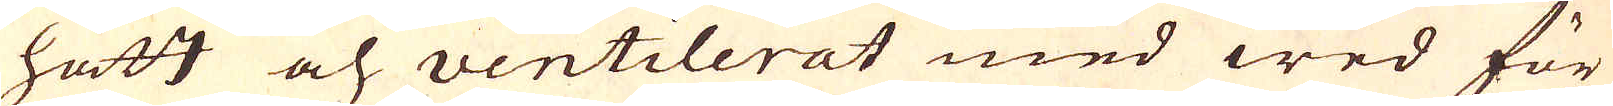hatt och ventilerat med wed för
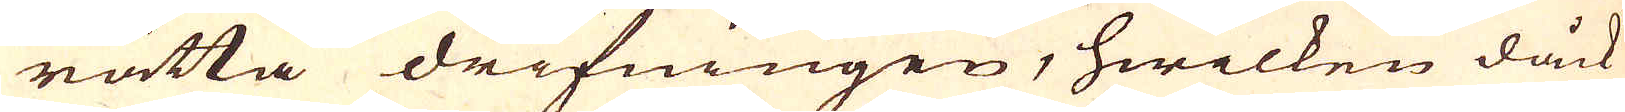rätta drifningen, hwilken dåck
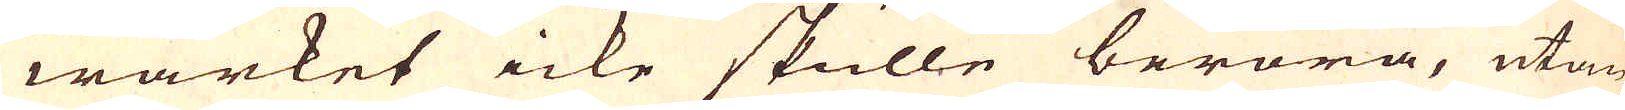wärket icke skulle beröra, utan
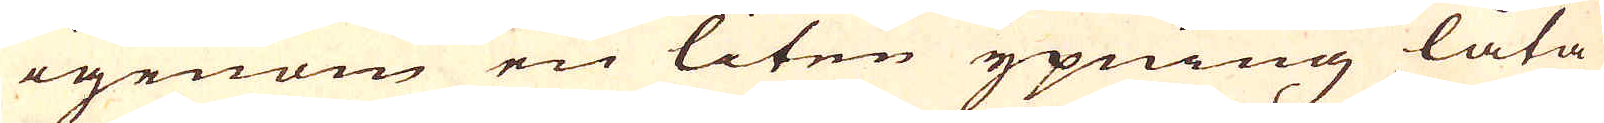igenom en liten ypning låta
